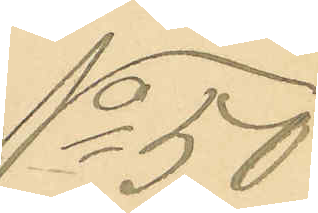No 50
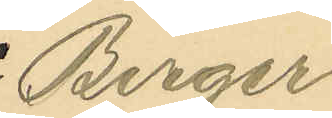Birger
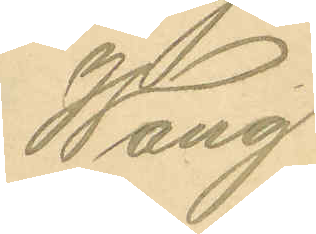Wang
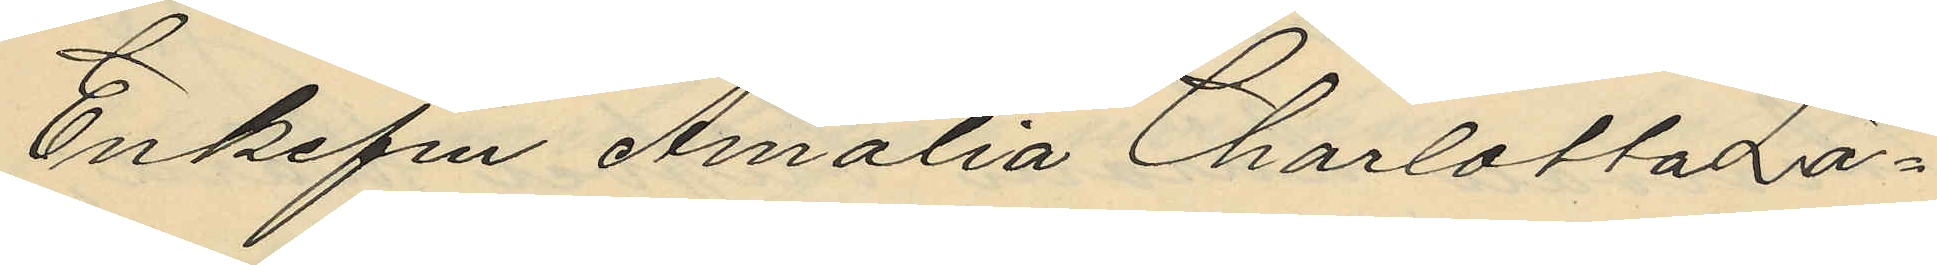Enkefru Amalia Charlotta La¬
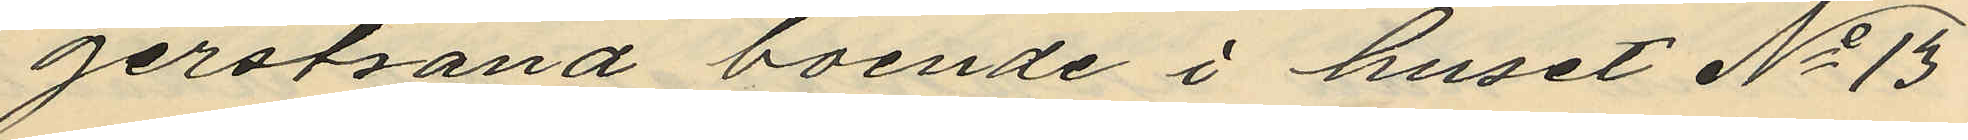gerstrand boende i huset No 13
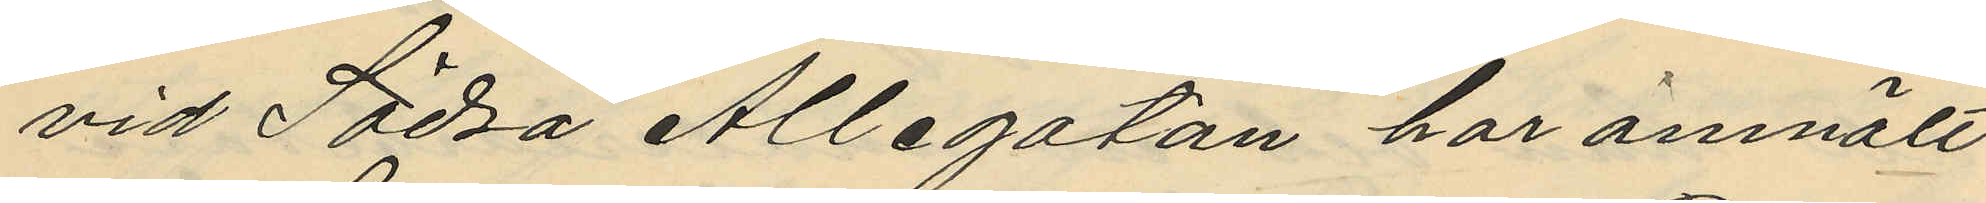vid Södra Allegatan har anmält
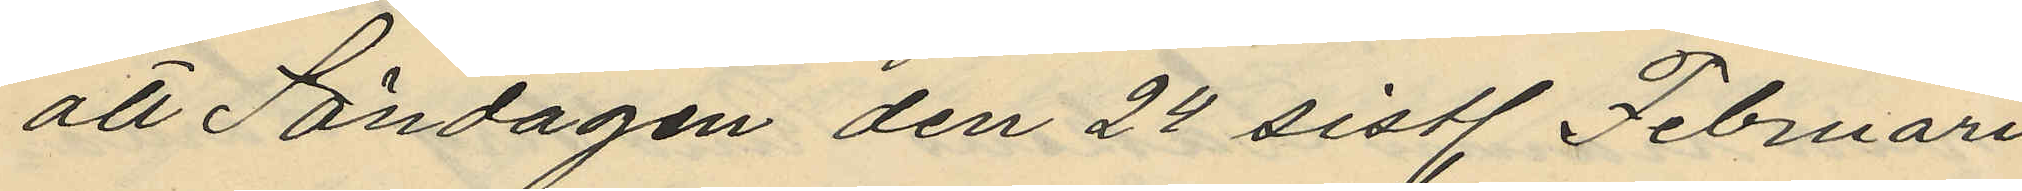att Söndagen den 24 sistl. Februari
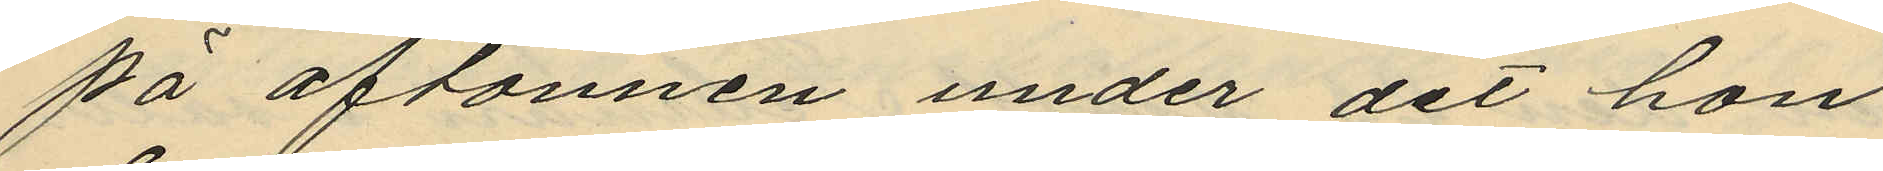på aftonnen under det hon
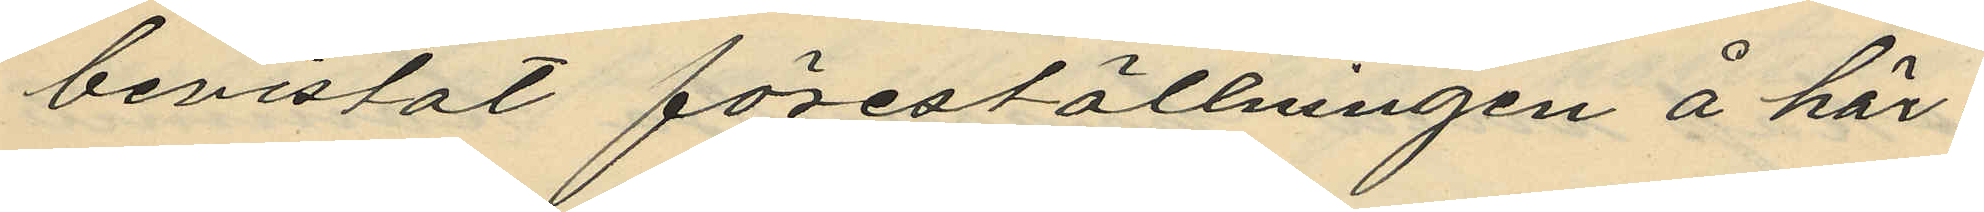bevistat föreställningen å här¬
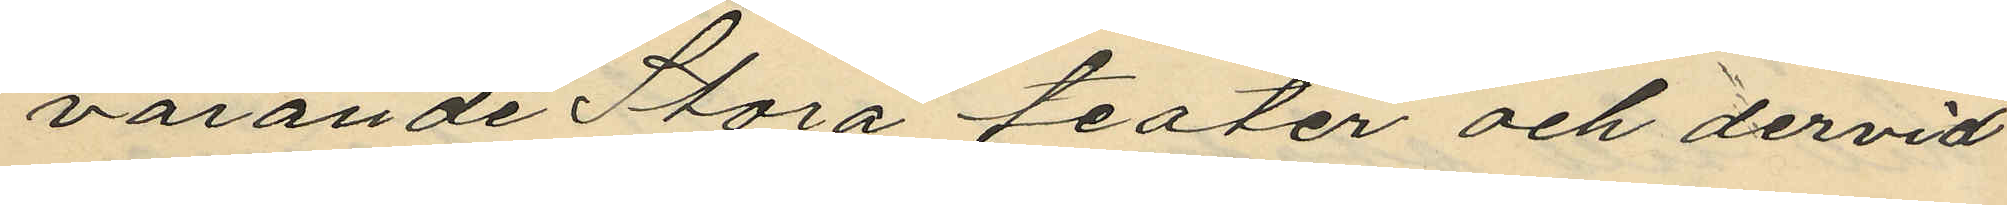varande Stora teater och dervid
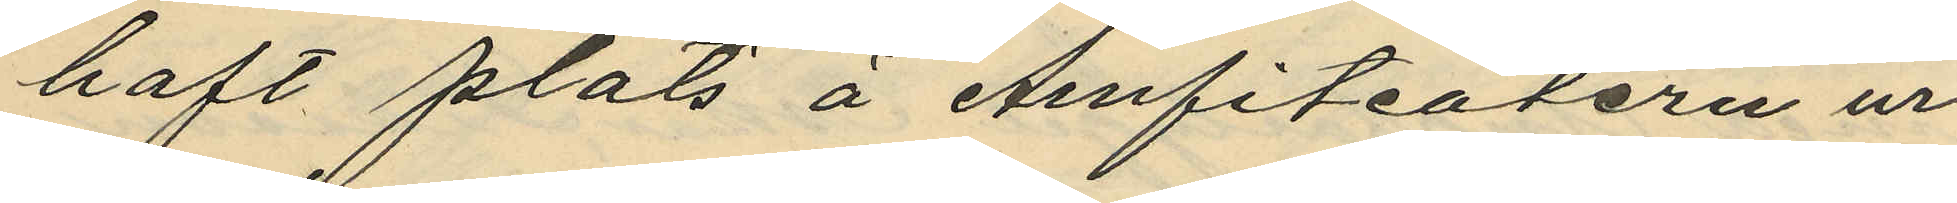haft plats å Amfiteatern ur
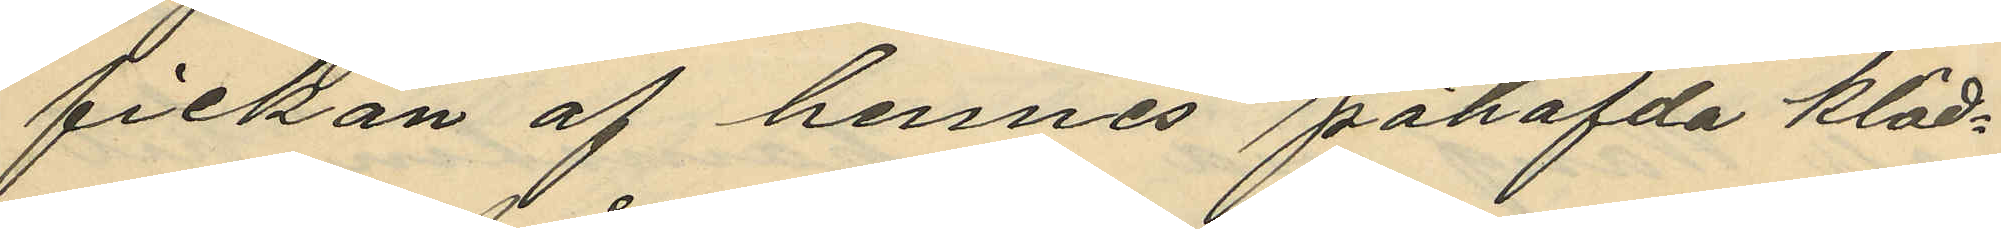fickan af hennes påhafda kläd¬
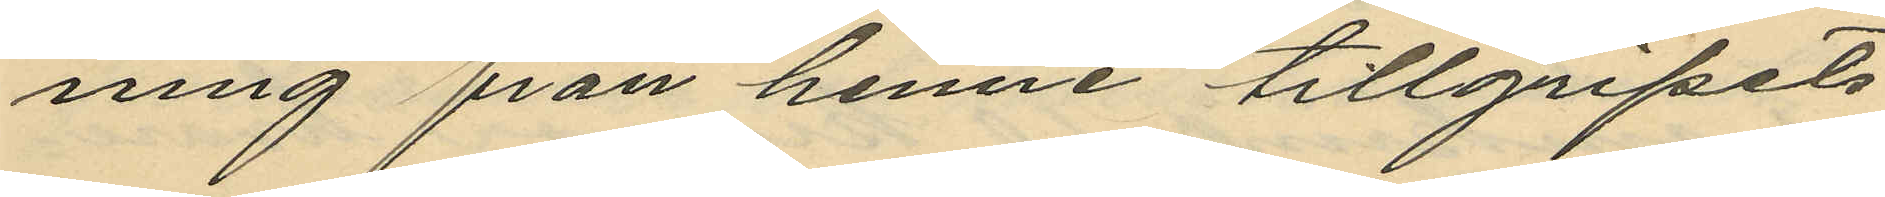ning från henne tillgripits
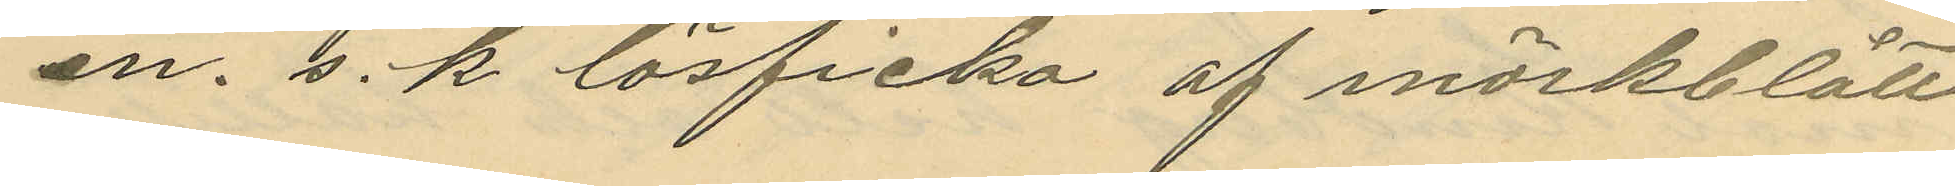en s.k. lösficka af mörkblått
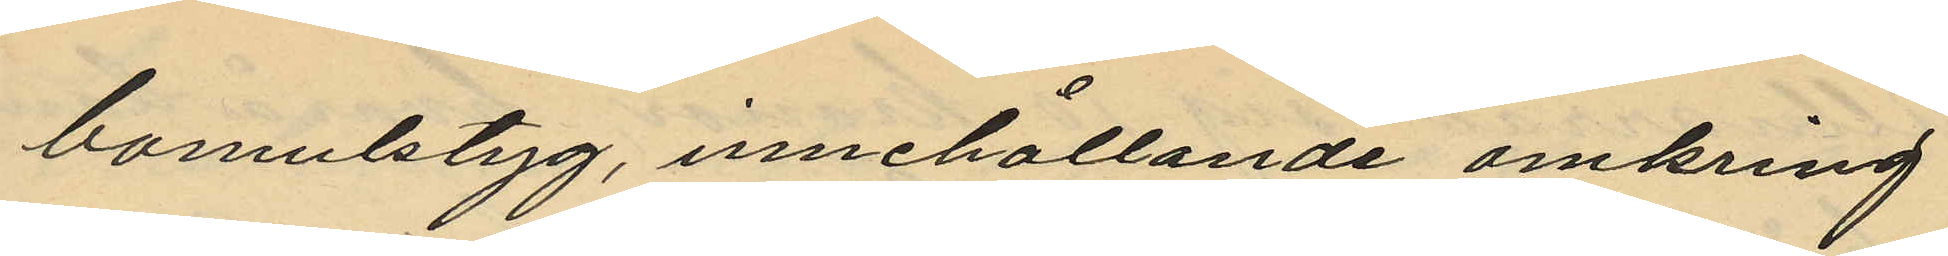bomulstyg, innehållande omkring
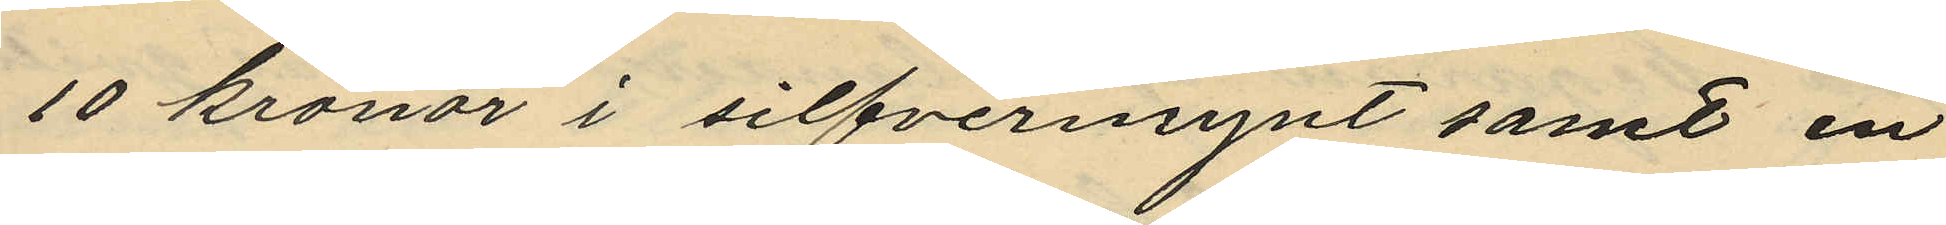10 kronor i silfvermynt samt en
